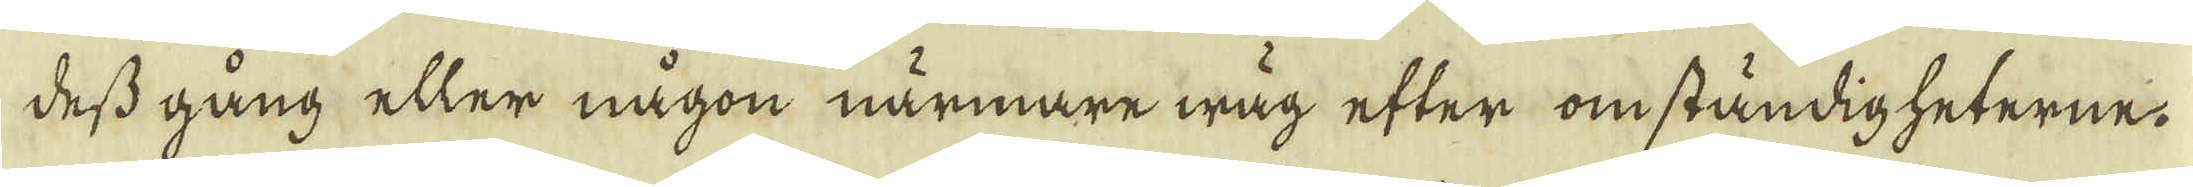dess gång eller någon närmare wåg efter omständigheterne,
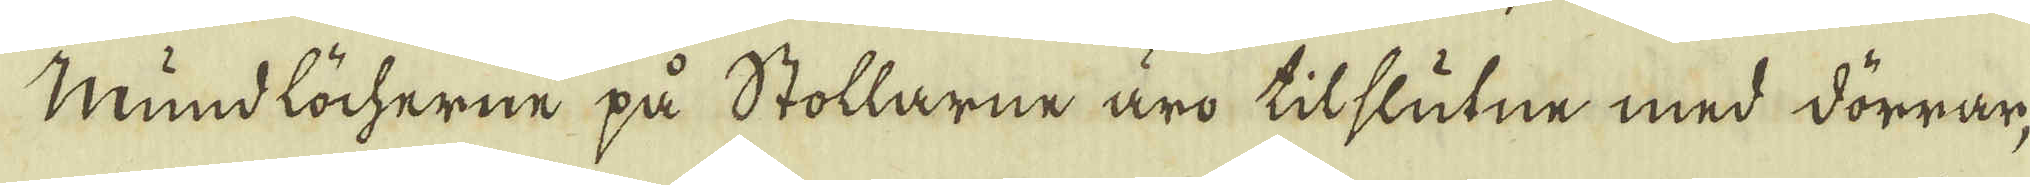Mundlöcherne på Stollarne äro tilslutne med dörrar,
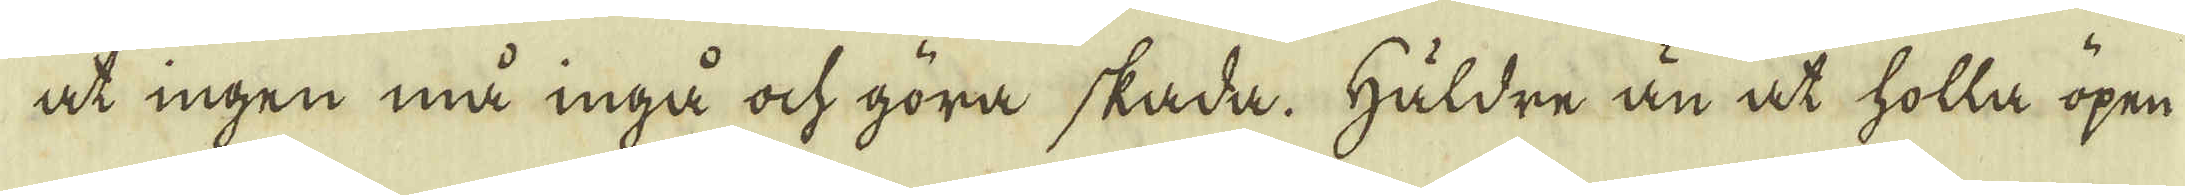at ingen må inga ock göra skada. Häldre än at holla öpen-
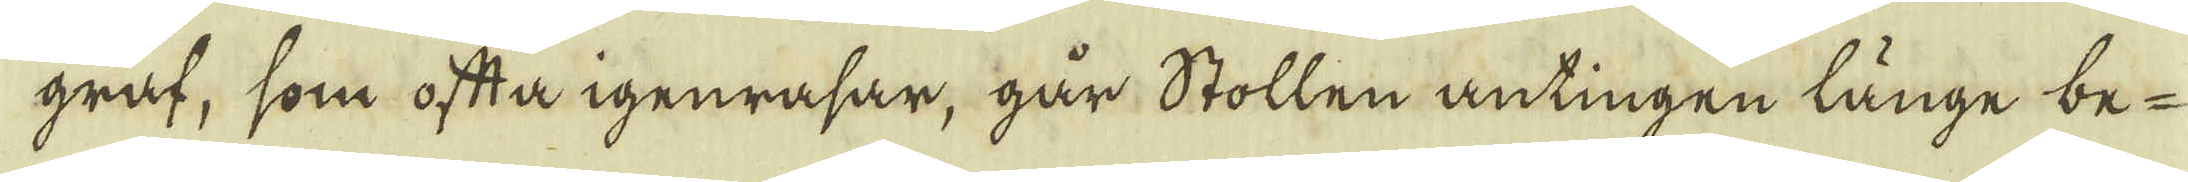graf, som ofta igenrasar, går Stollen antingen länge be-
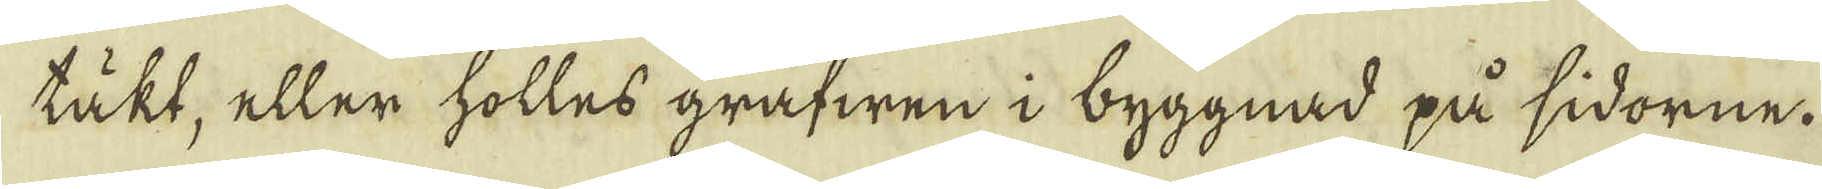täkt, eller holles grafwen i byggnad på sidorne.
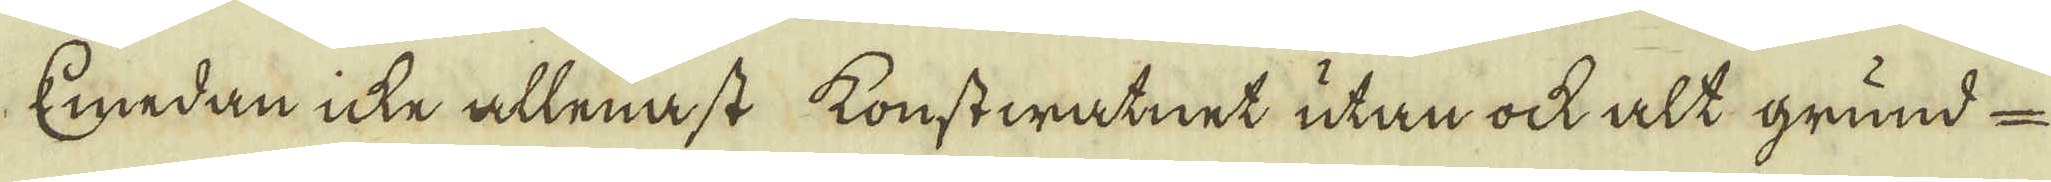Emedan icke allenast konstwatnet utan ock alt grund-
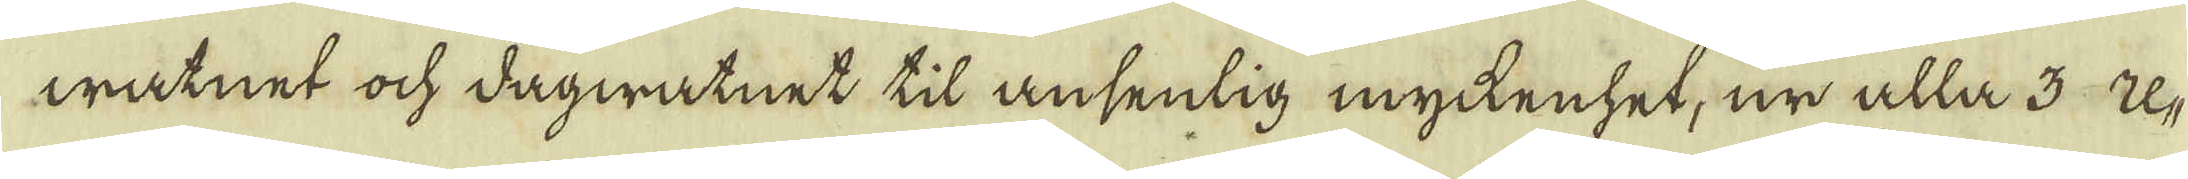watnet ock dagwatnet til ansenlig myckenhet, ur alla 3 U-
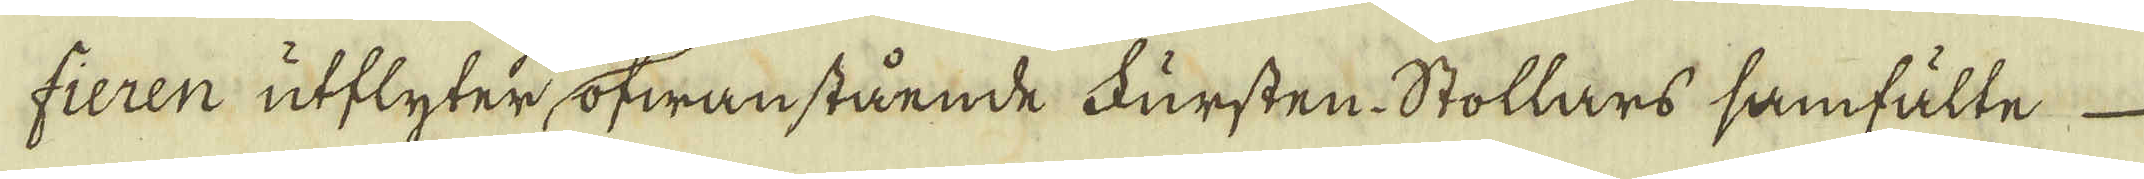fieren utflyter, ofwanstående Fursten Stollars samfälte
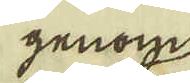genom
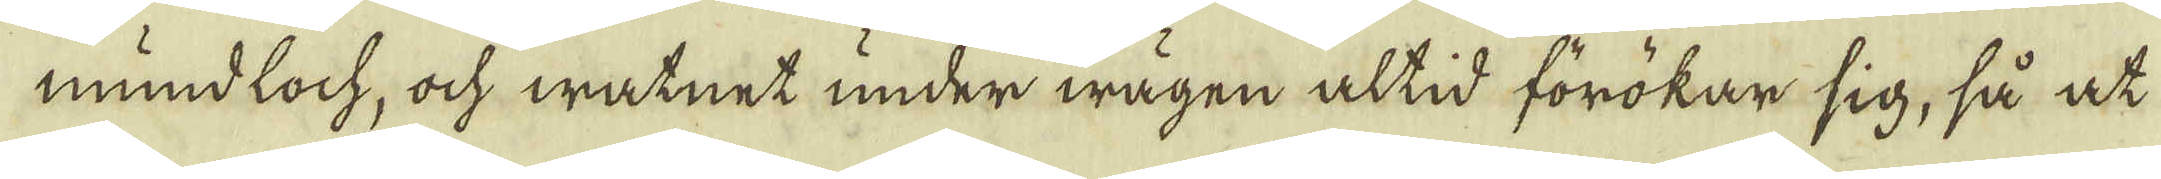mundloch, ock watnet under wägen altid förökar sig, så at
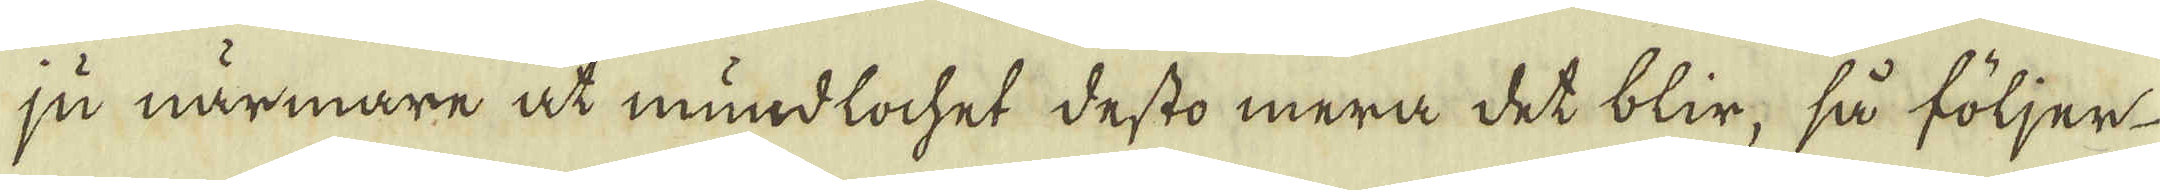ju närmare åt mundlochet desto mera det blir; så följer
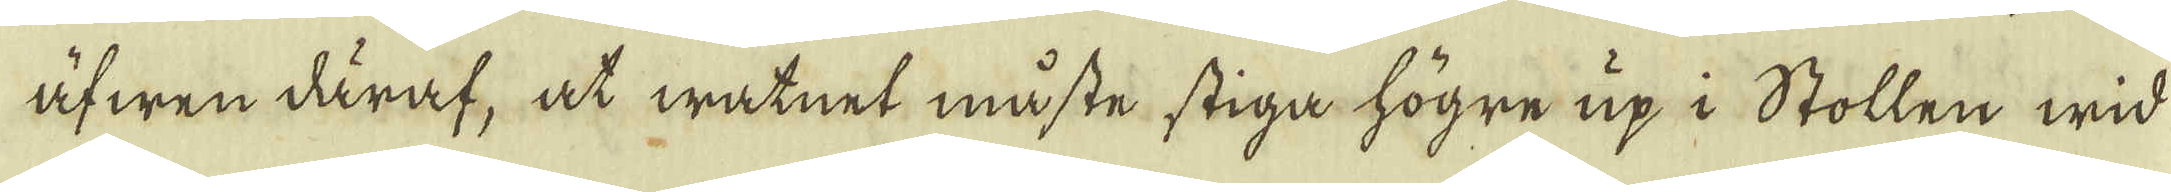äfwen däraf, at watnet måste stiga högre up i Stollen wid
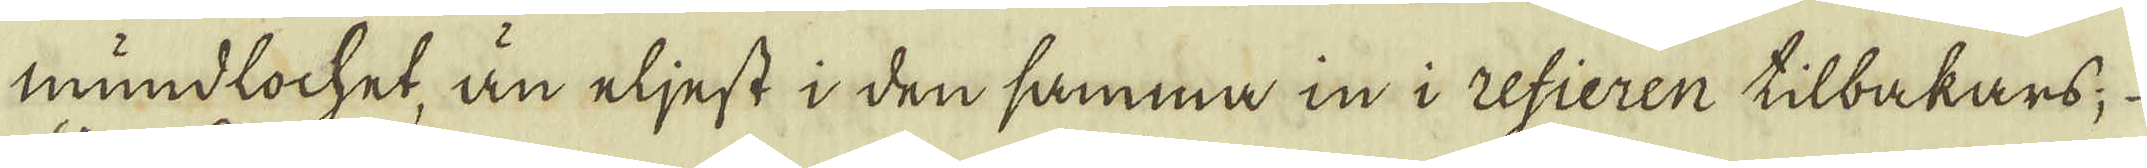mundlochet, än eljest i den samma in i refieren tilbakars
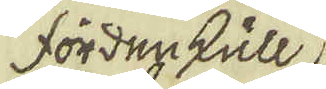fordre kull,
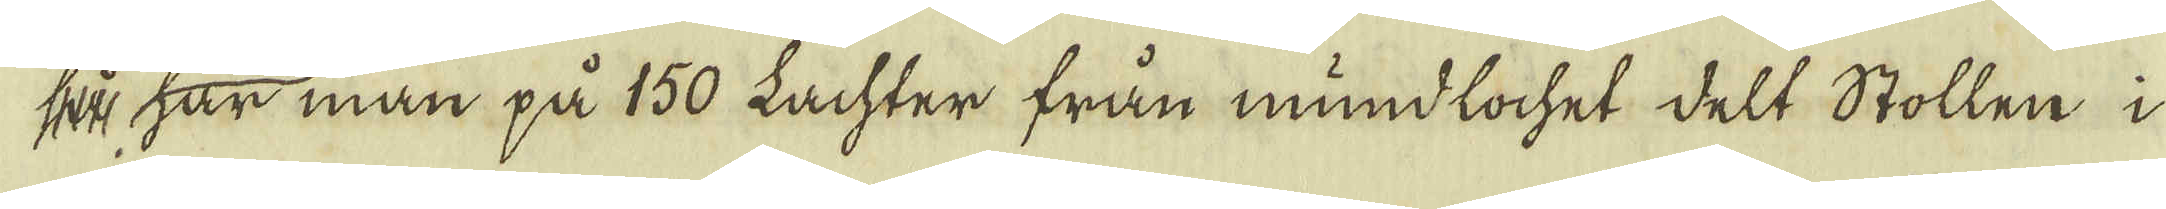så har man på 150 Lachter från mundlochet delt Stollen i
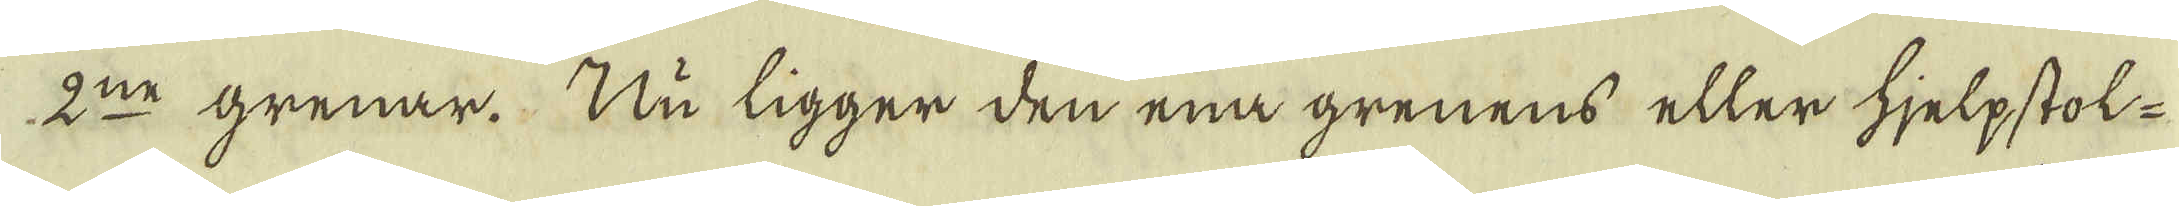2:ne grenar. Nu ligger den ena grenens eller hjelpstol.
